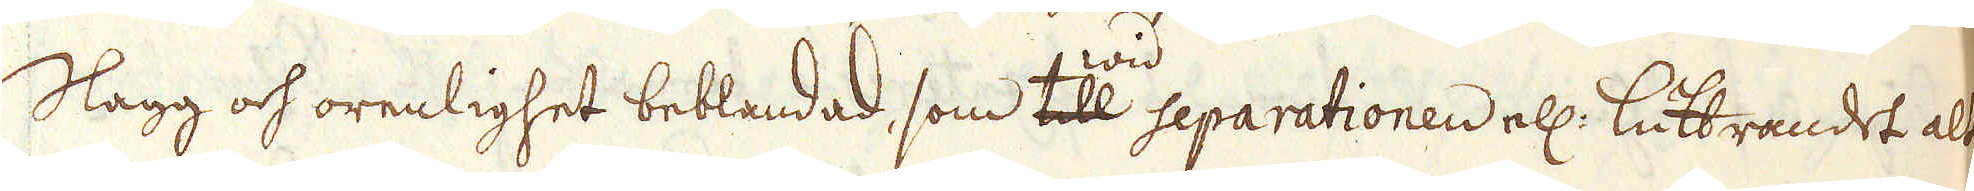Slagg och orenlighet beblandad, som till wid separationen ell: luttrandet alt-
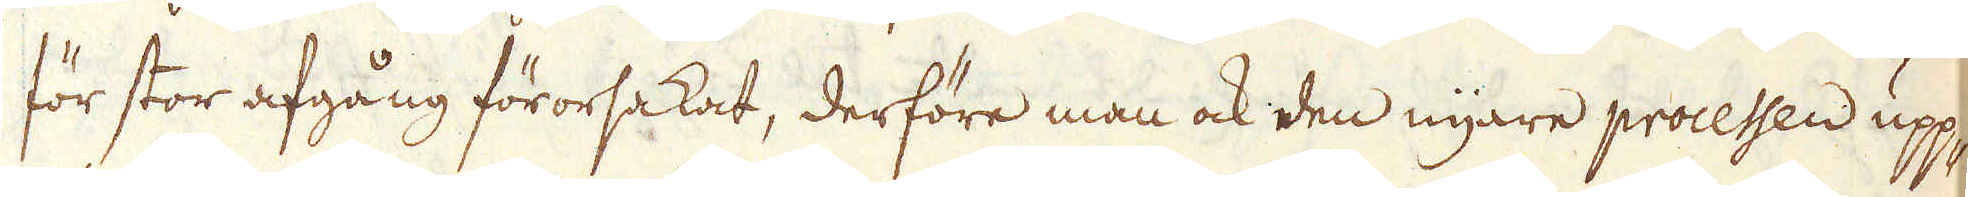för stor afgång förorsakat, derföre man ock den nyare processen upp-
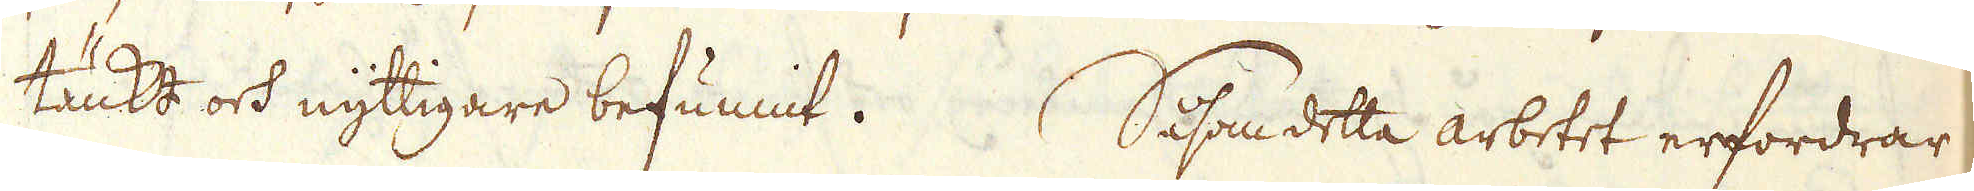tänkt och nyttigare befunnit. Såsom detta arbetet erfordrar
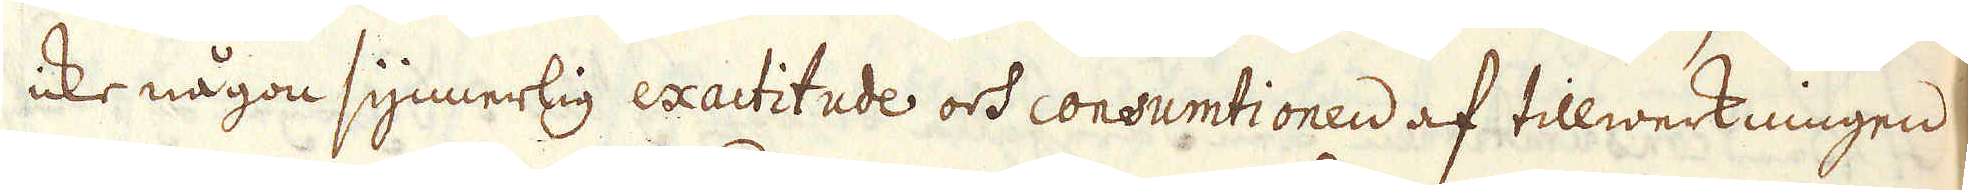icke någon synnerlig exactitude och consumtionen af tillwerkningen
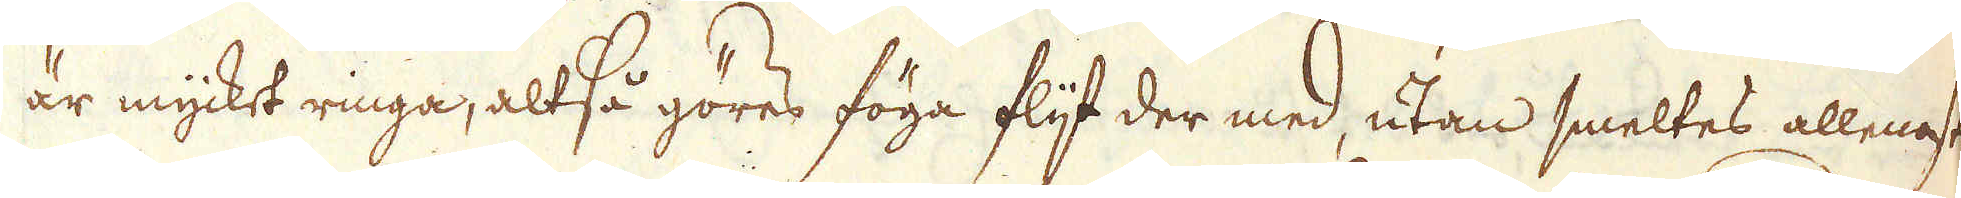är mycket ringa, altså göres föga flijt der med, utan smeltes allenast
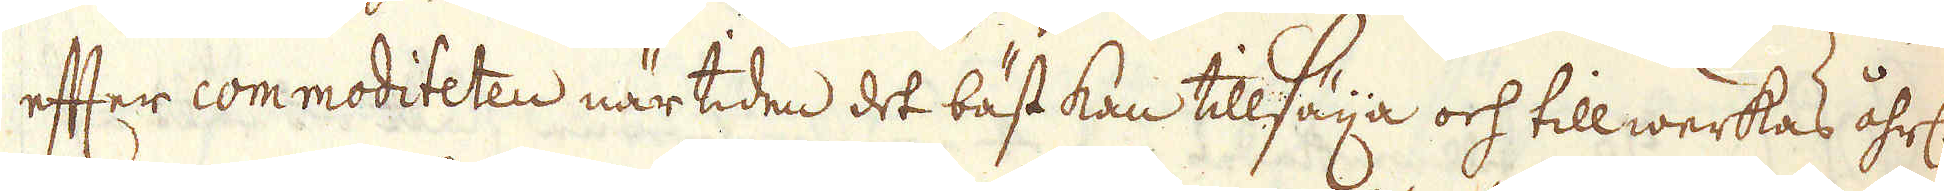efter commoditeten när tiden det bäst kan tillsäija och tillwerkas åhrl:
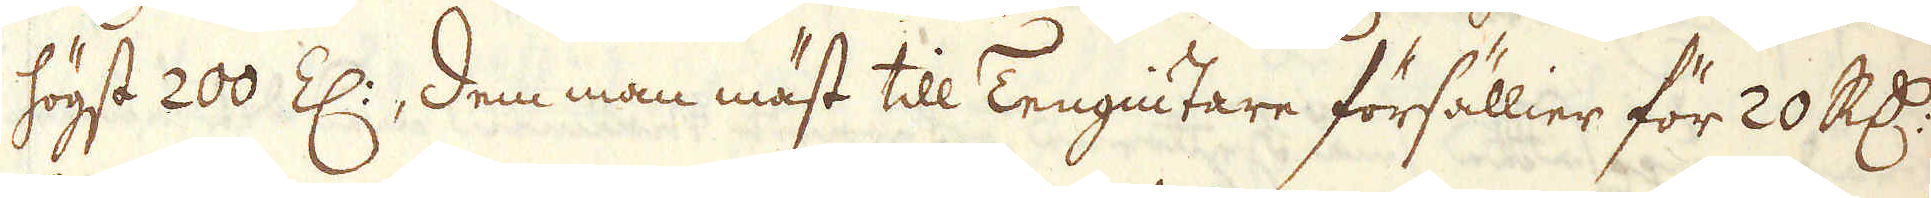högst 200 Z:, dem man mäst till Tengiutare försällier för 20 R:dr
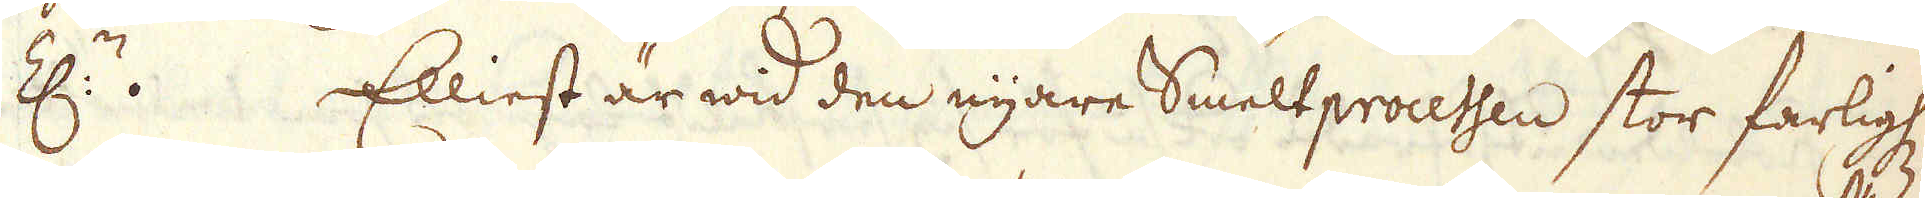Z:n. Elliest är wid den nyare Smeltprocessen stor farligh:
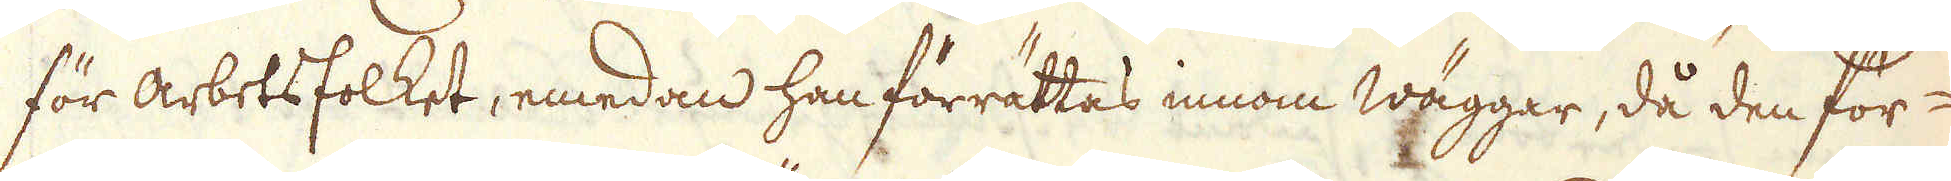för arbetsfolket, emedan han förrättas innom wäggar, då den för-
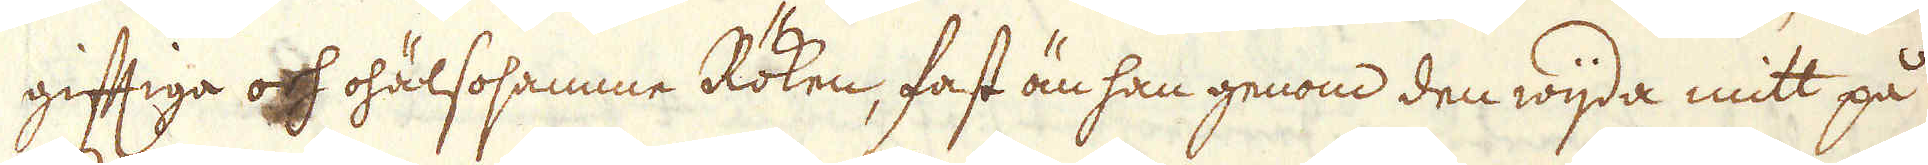giftiga och ohälsosamme Röken, fast än han genom den wijda mitt på
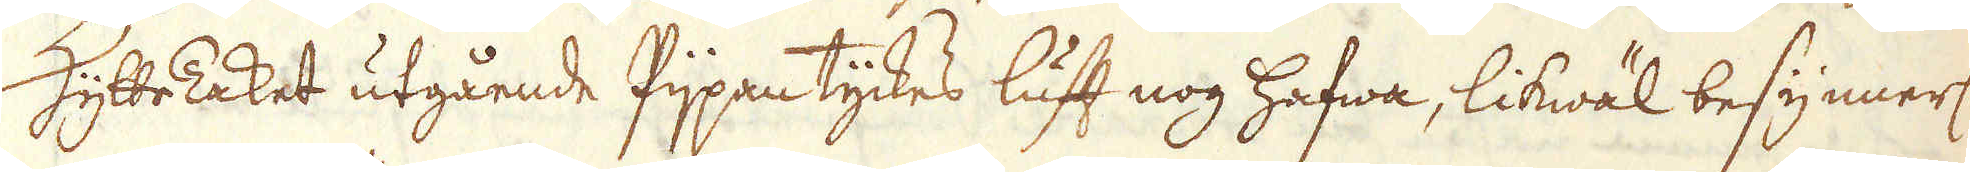HytteTaket utgående Pijpan tyckes luft nog hafwa, likwäl besynnerl:
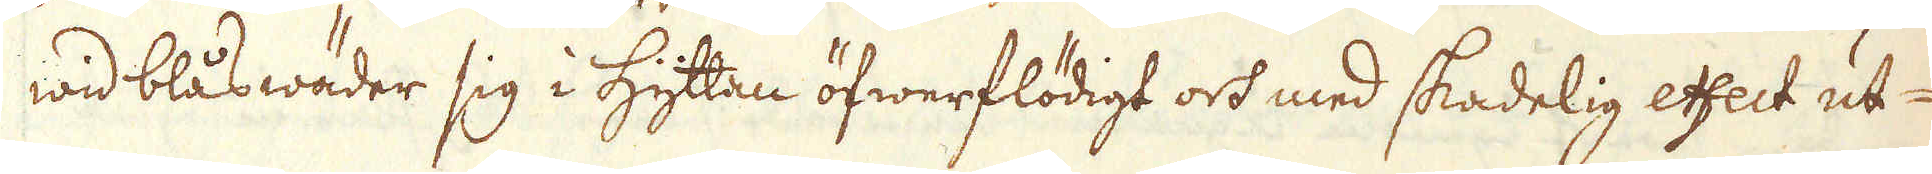wid blåswäder sig i Hyttan öfwerflödigt och med skadelig effect ut-
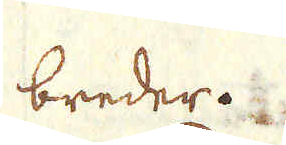breder.
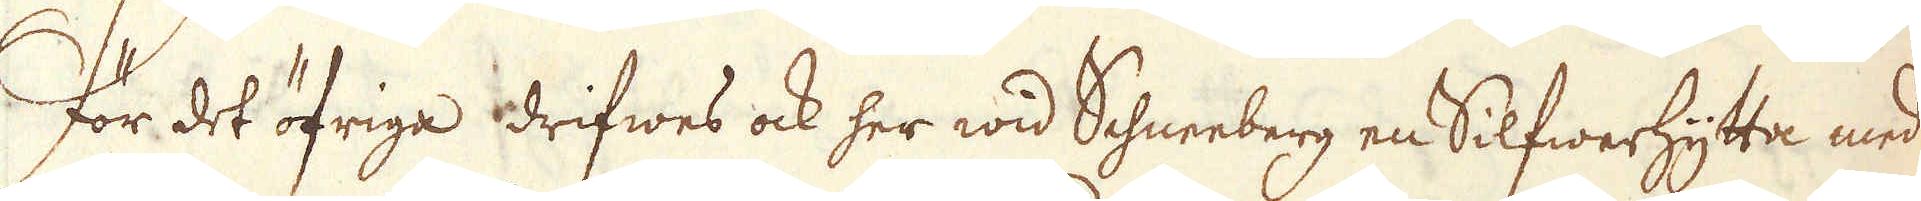För det öfriga drifwes ock her wid Schneeberg en Silfwerhytta med
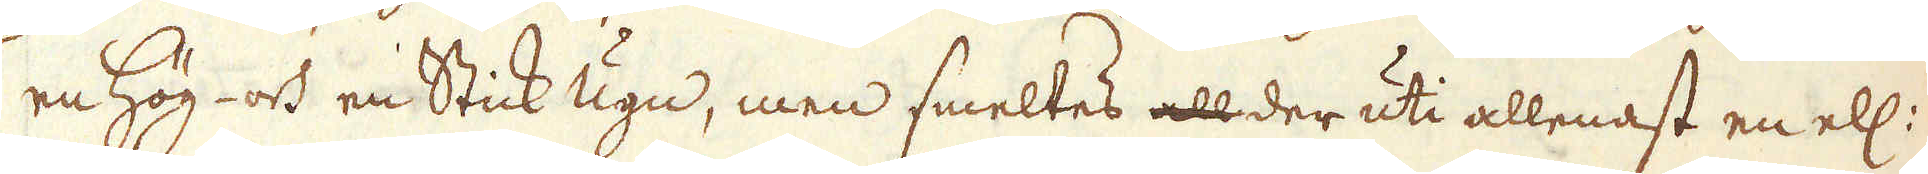en Hög- och en Stick Ugn, men smeltes all der uti allenast en ell:
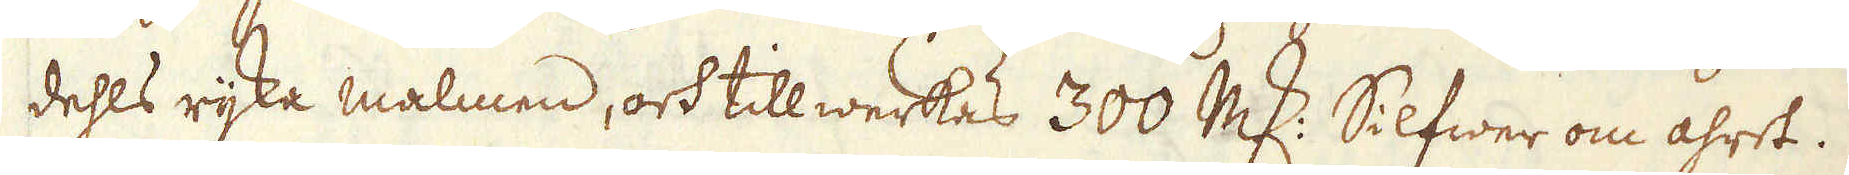dehls rijka malmen, och tillwerkas 300 marker Silfwer om åhret.
